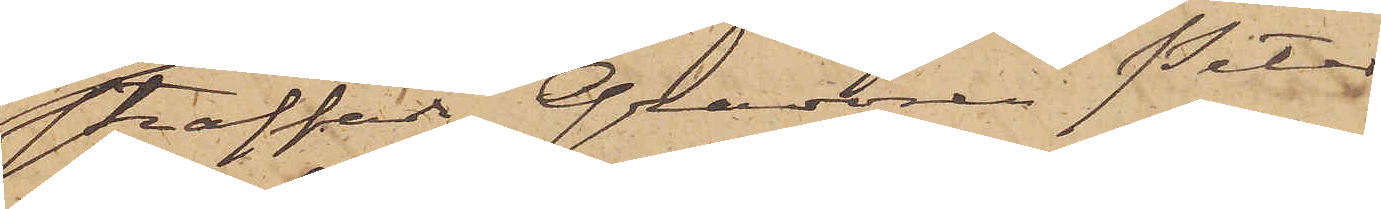straffade Gravören Peter
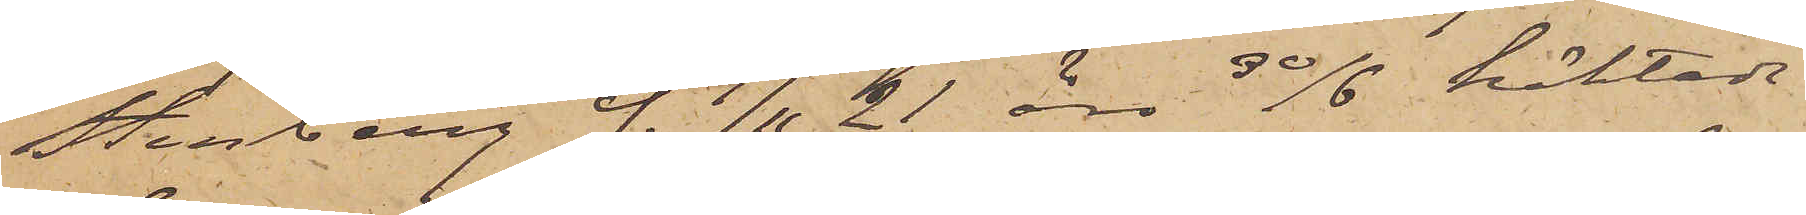Stenberg f. 9/11 21 äro 30/6 häktade
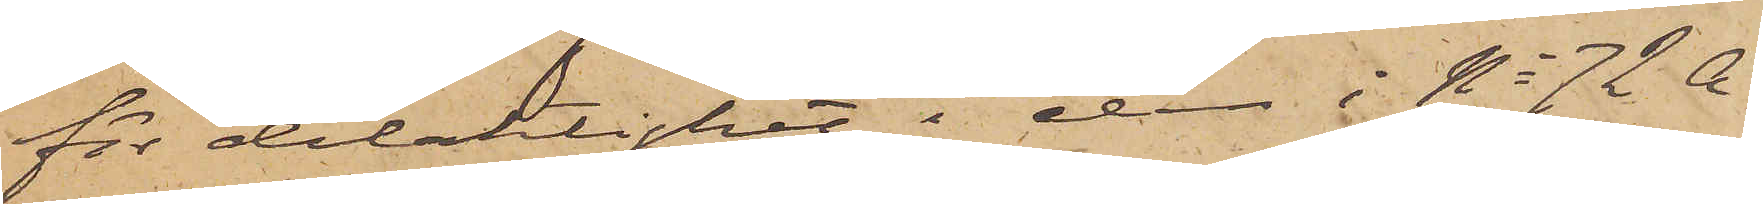för delaktighet i den i No 72 A
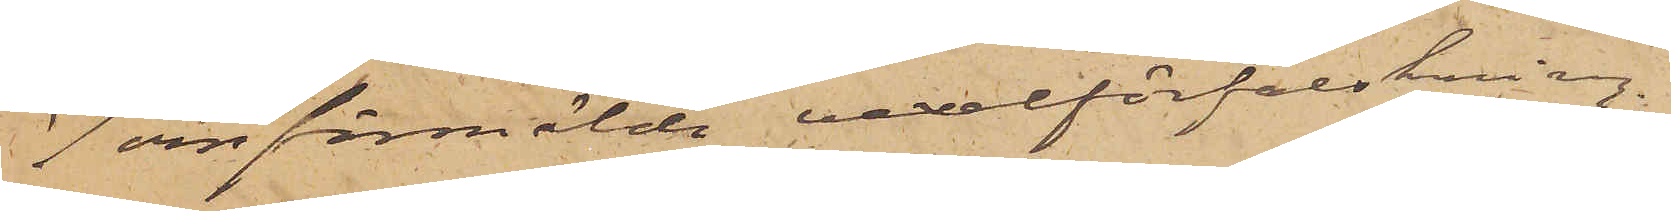7 omförmälda vexelförfalskning.
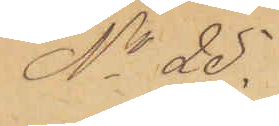No 25.
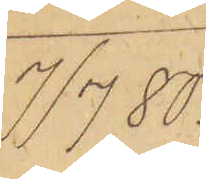7/7 80.
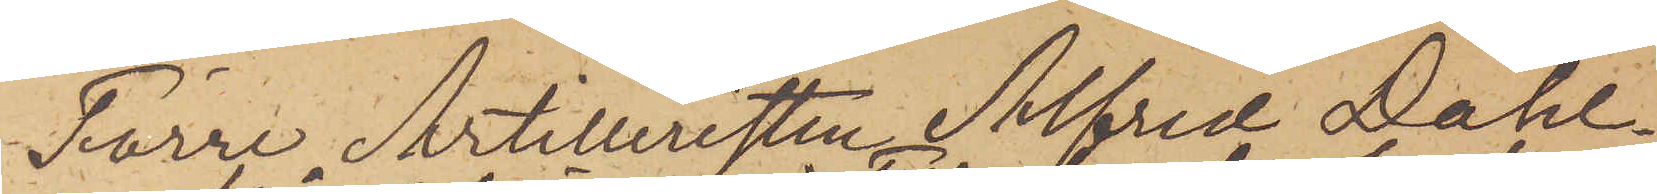Förre Artilleristen Alfred Dahl¬
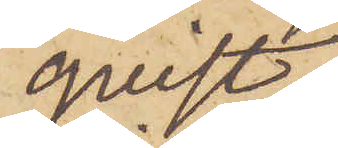qvist
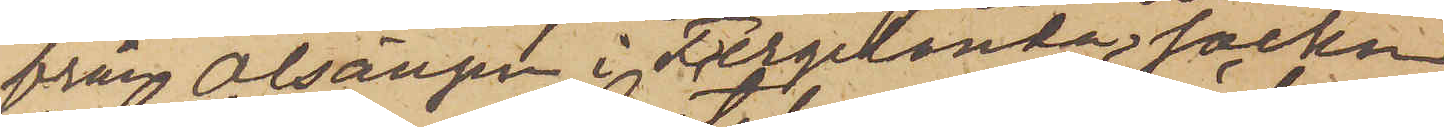från Alsängen i Fergelanda socken
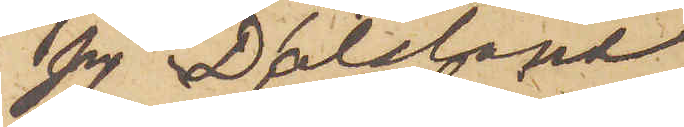på Dalsland
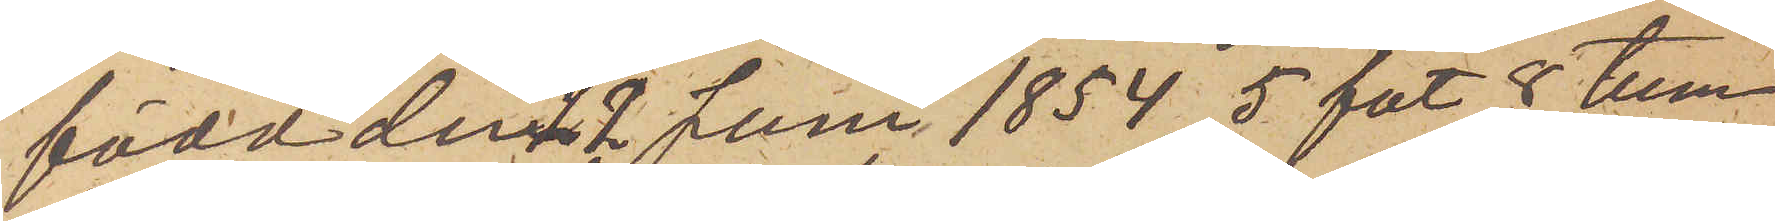född den 22 Juni 1854, 5 fot 8 tum
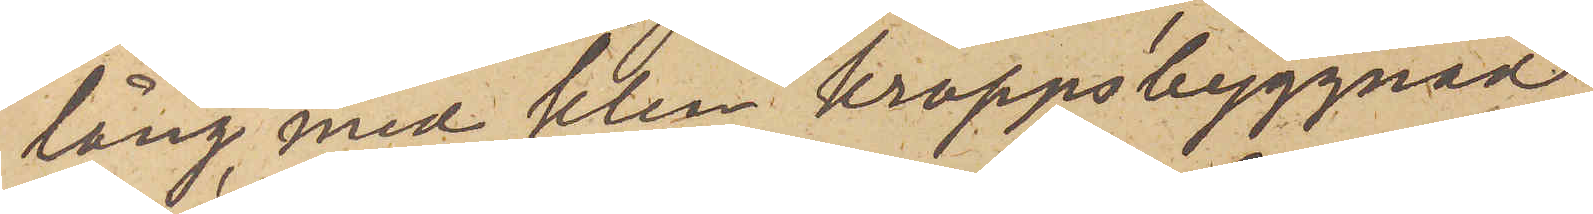lång, med klen kroppsbyggnad
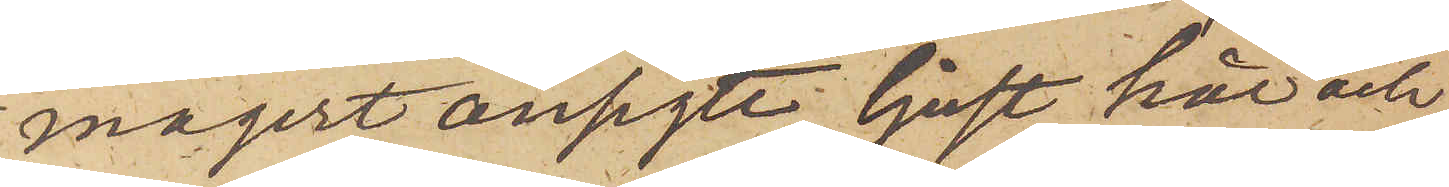magert ansigte, ljust hår och
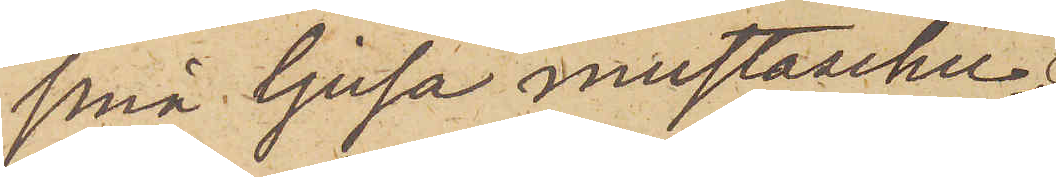små ljusa mustascher
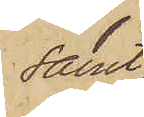samt
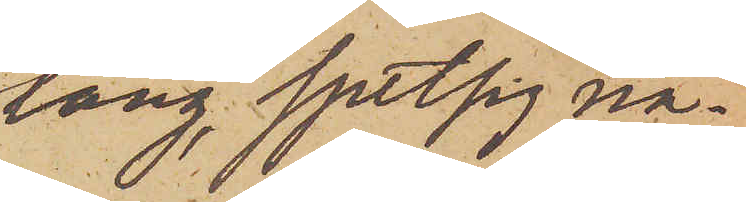lång, spetsig nä¬
